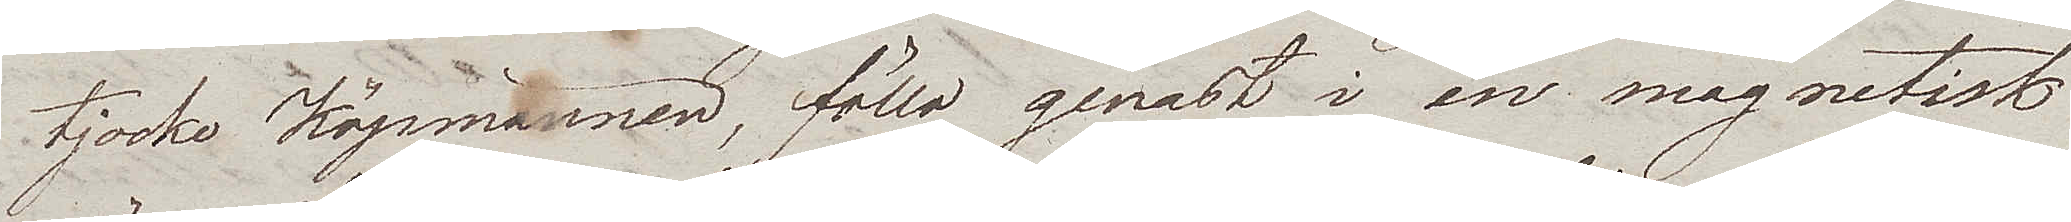tjocke Köpmännen, föllo genast i en magnetisk
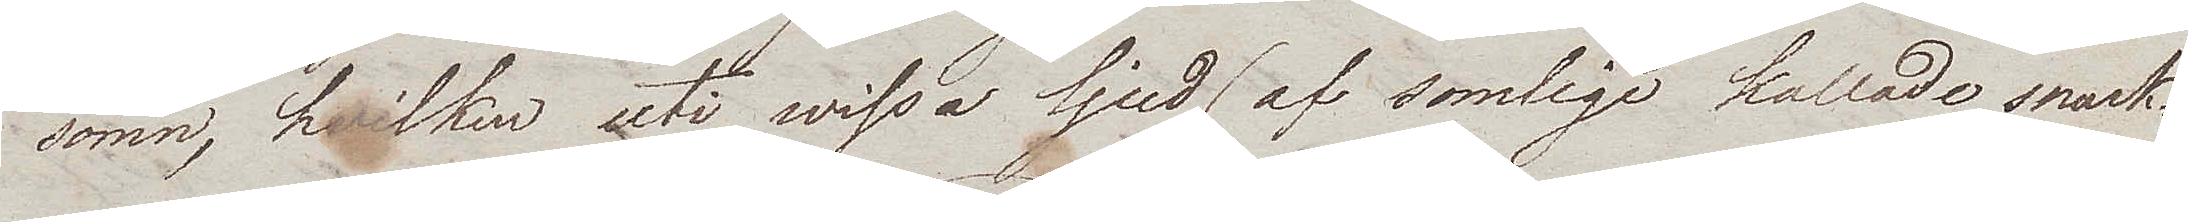sömn, hvilken uti wissa ljud (af somlige kallade snark¬
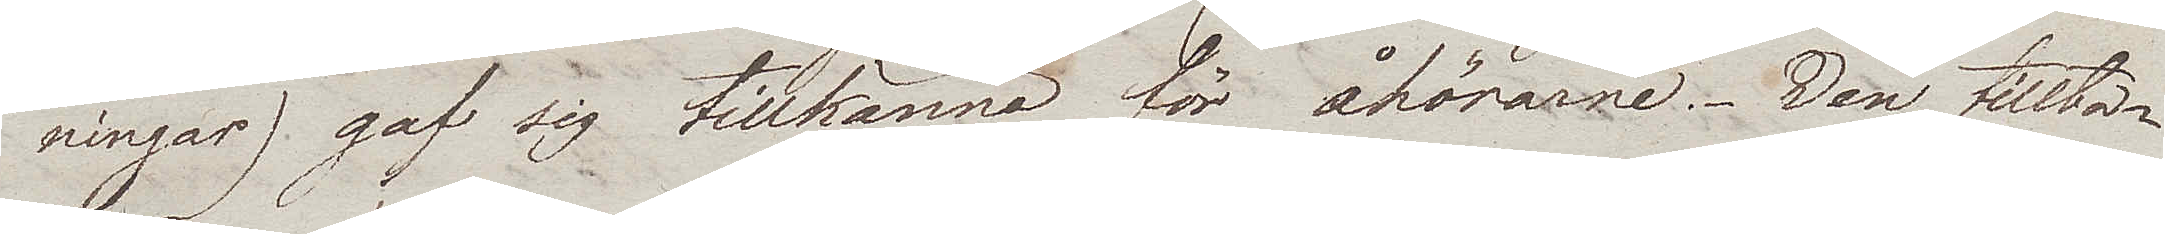ningar) gaf sig tillkänna för åhörarne. Den tillta¬
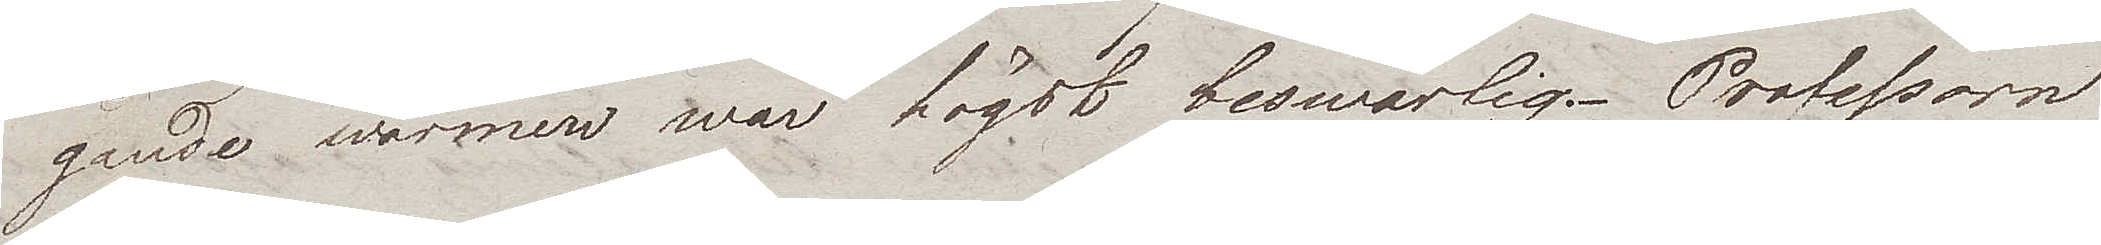gande wärmen war högst beswärlig. Professorn
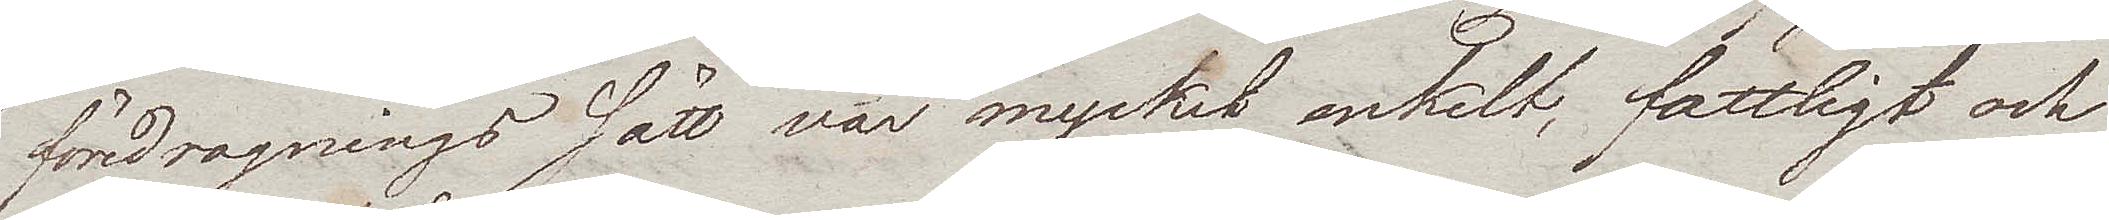föredragningssätt var mycket enkelt, fattligt och
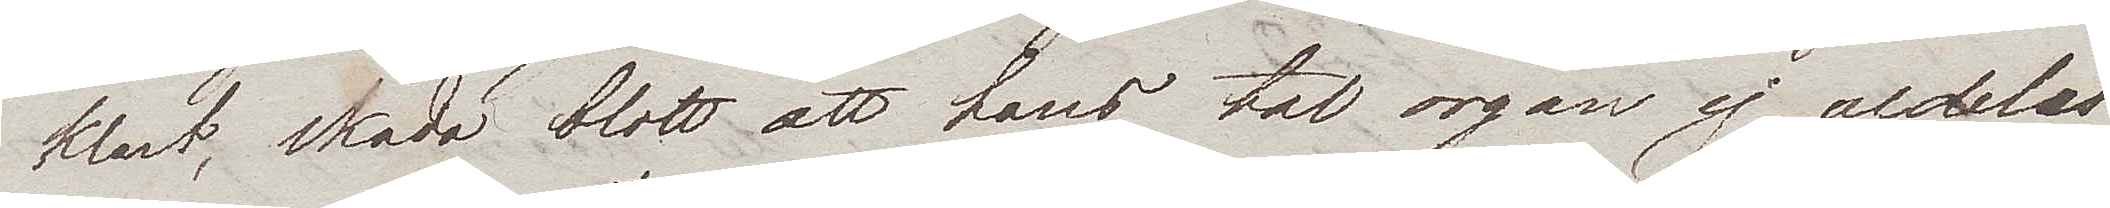klart, skada blott att hans tal organ ej aldeles
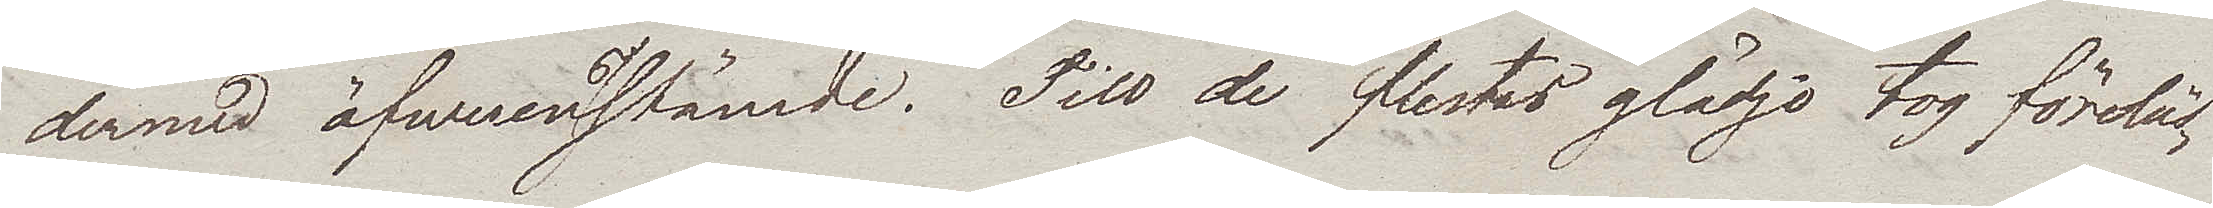dermed öfwerenstämde. Till de flestas glädje tog föreläs¬
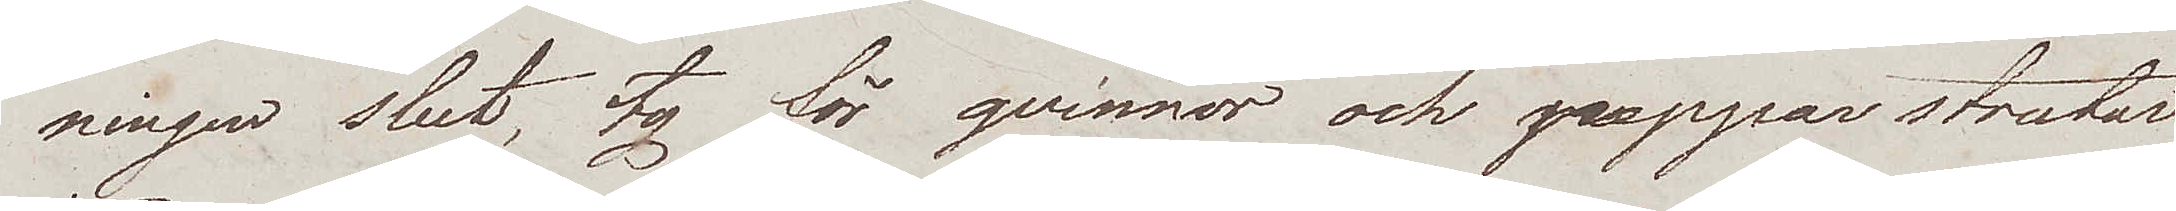ningen slut, ty för qvinnor och pepparstrutar
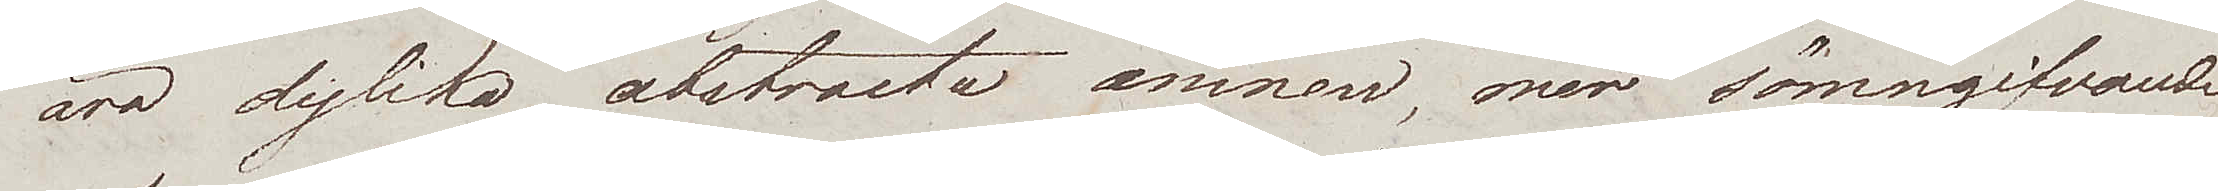äro dylika abstracta ämnen, mer sömngifvande
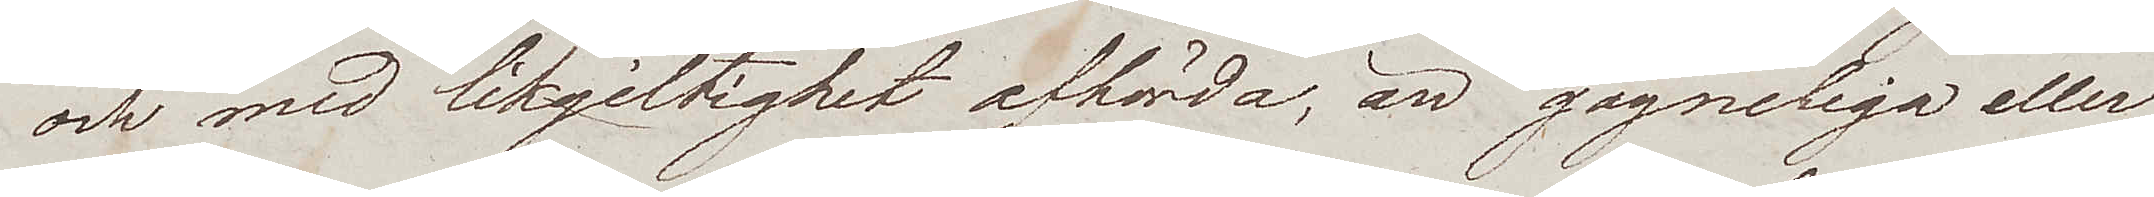och med likgiltighet afhörda, än gagneliga eller
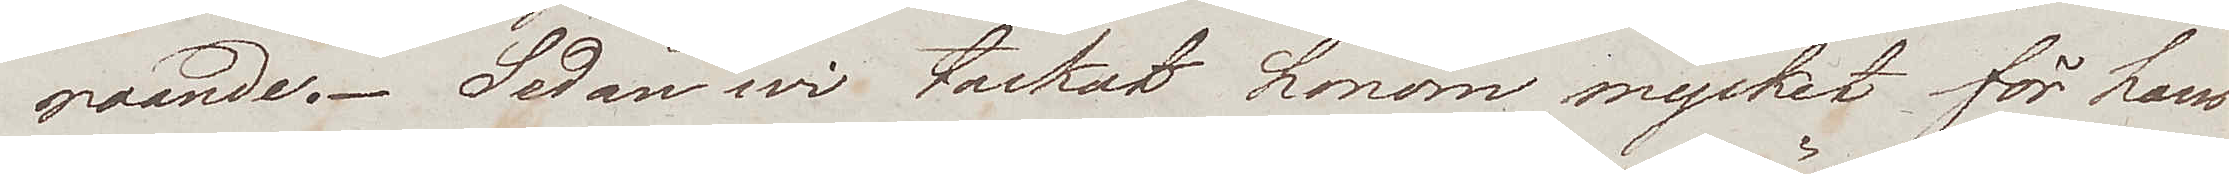roande. Sedan wi tackat honom mycket för hans
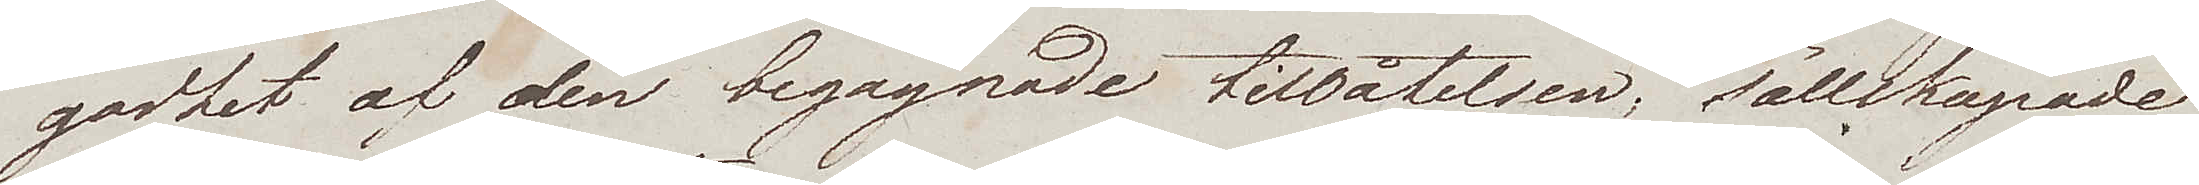godhet af den begagnade tillåtelsen, sällskapade
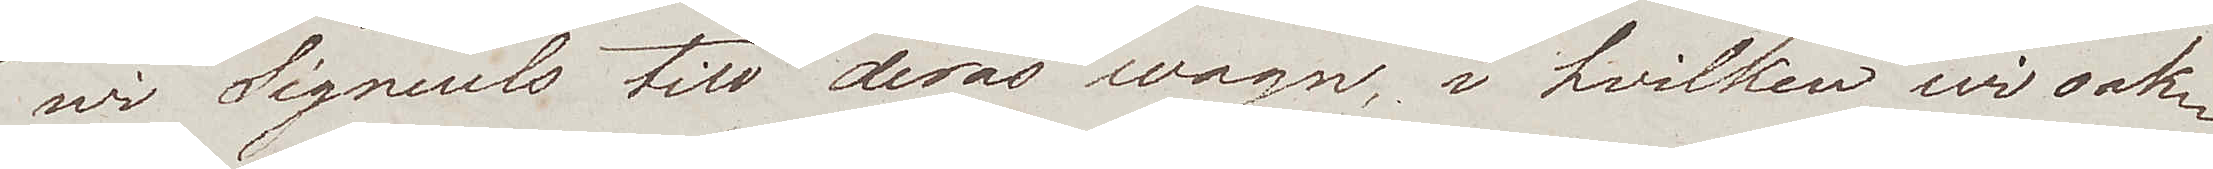wi Signeuls till deras wagn, i hvilken wi oak¬
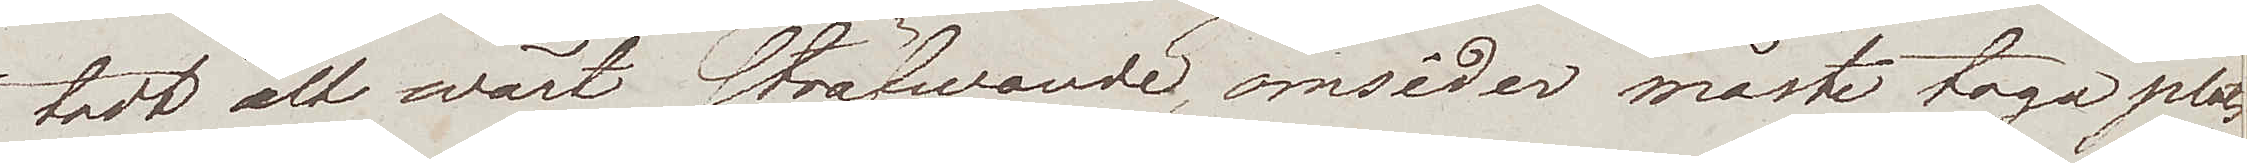tadt alt wårt sträfwande omsider måste taga plats
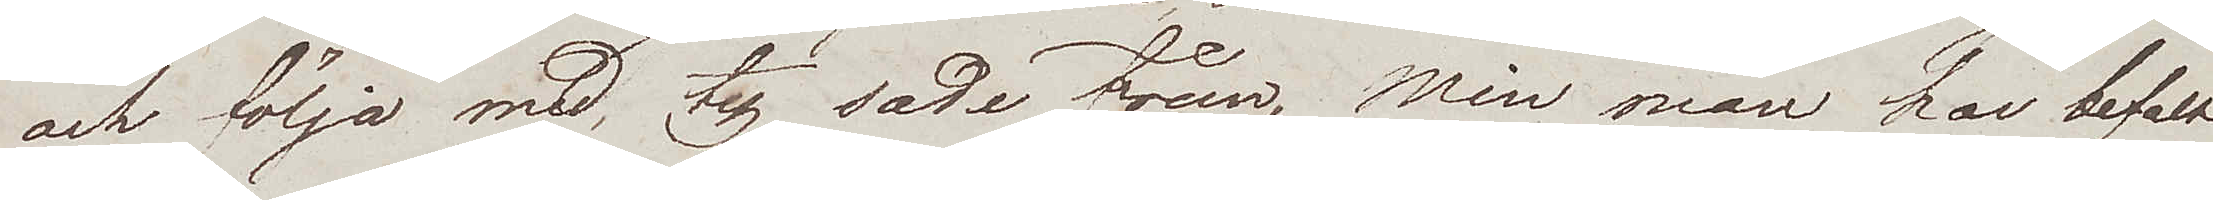och följa med, ty sade frun, Min man har befalt
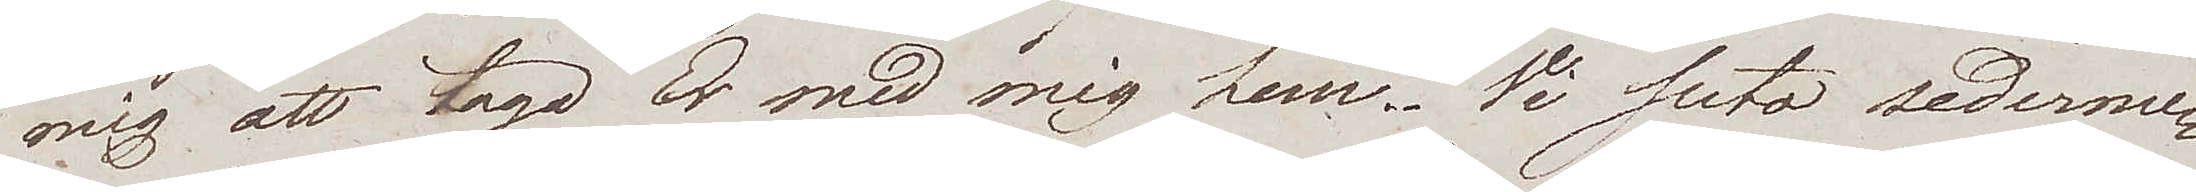mig att taga Er med mig hem. Vi suto sederme¬
